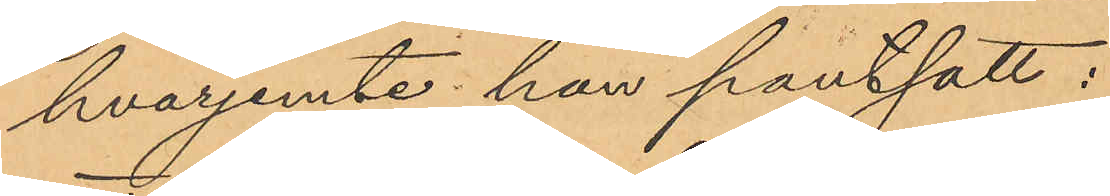hvarjemte han pantsatt:
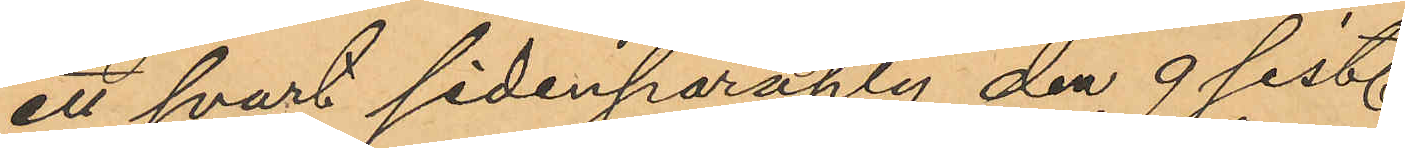ett svart sidenparaply den 9 sist.
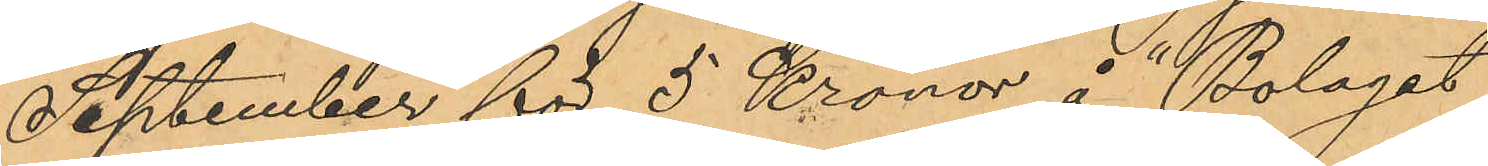September för 5 Kronor å "Bolaget
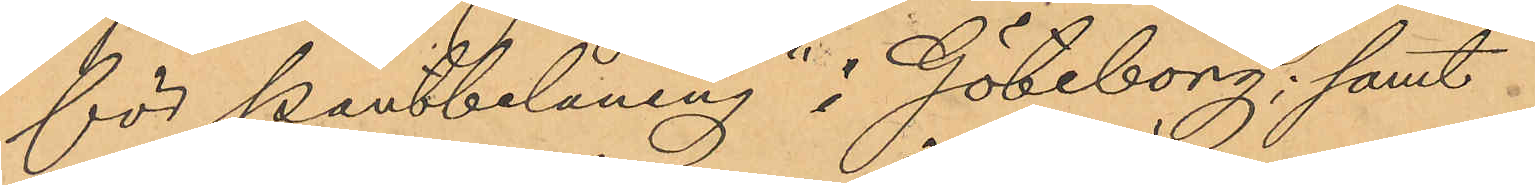för Pantbelåning" i Göteborg; samt
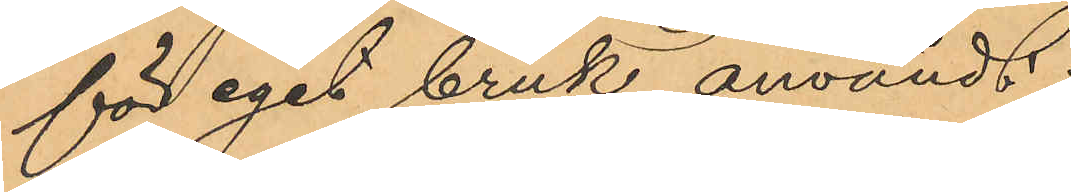för eget bruk användt
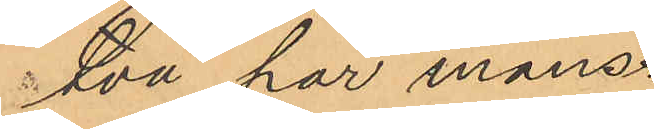två par mans¬
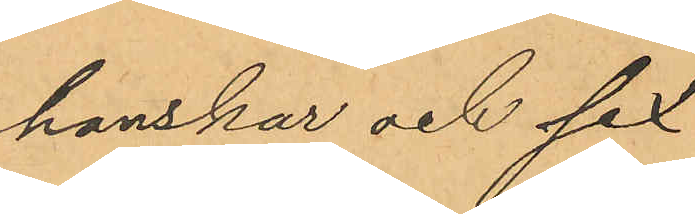hanskar och sex
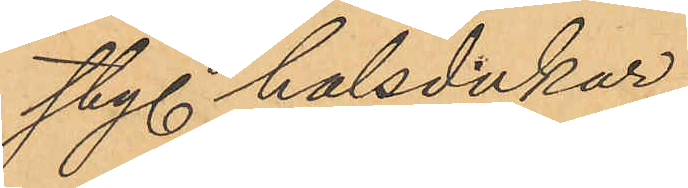sty. halsdukar.
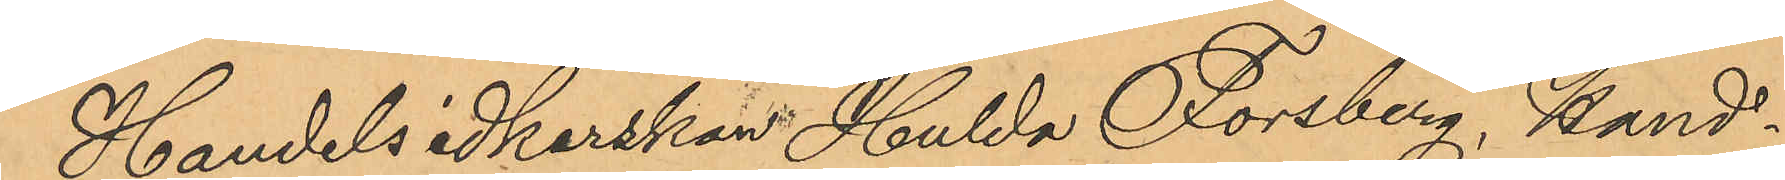Handelsidkerskan Hulda Forsberg, Hand¬
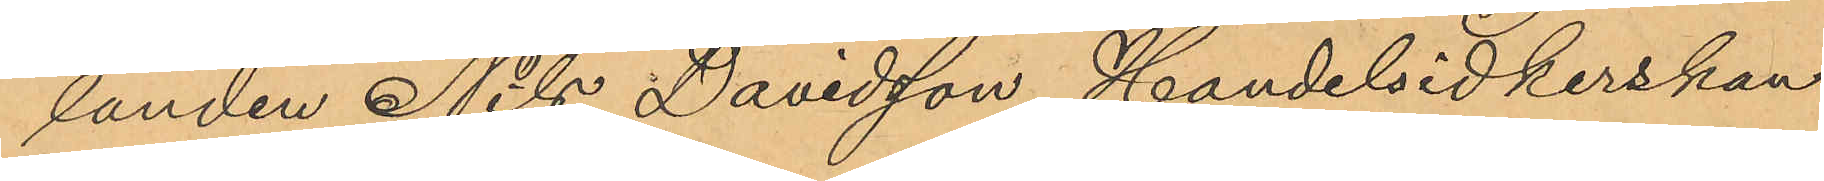landen Nils Davidsson, Handelsidkerskan
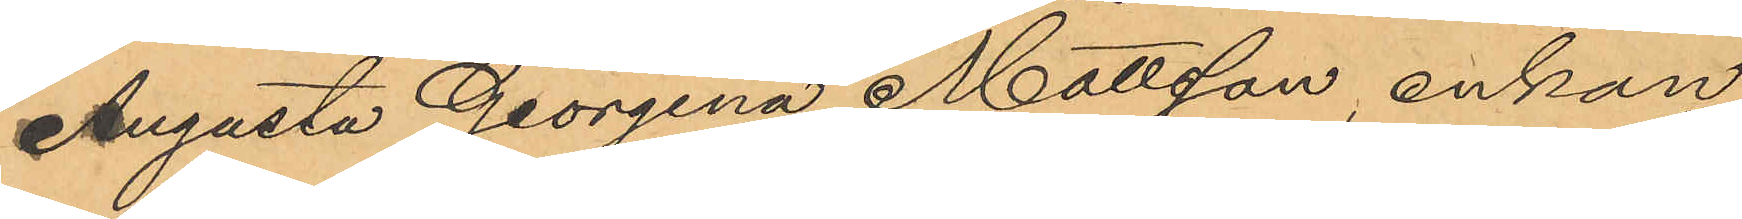Augusta Georgina Mattsson, enkan
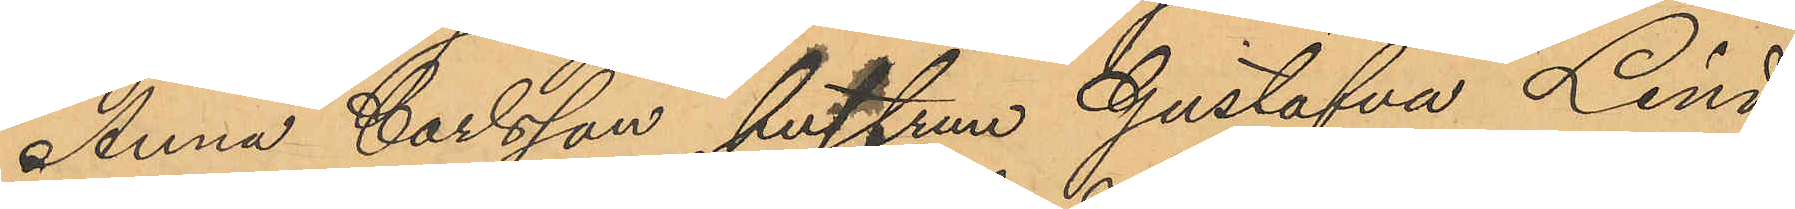Anna Carlsson, hustrun Gustafva Lind¬
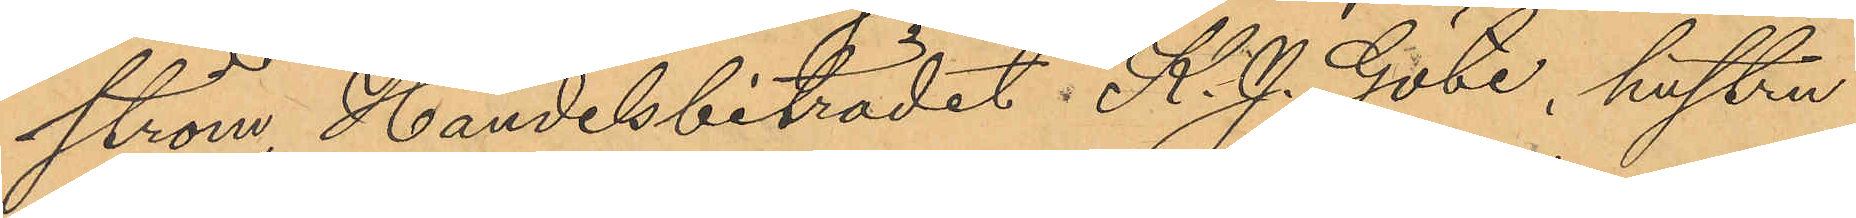ström, Handelsbiträdet K. J. Göte, hustru
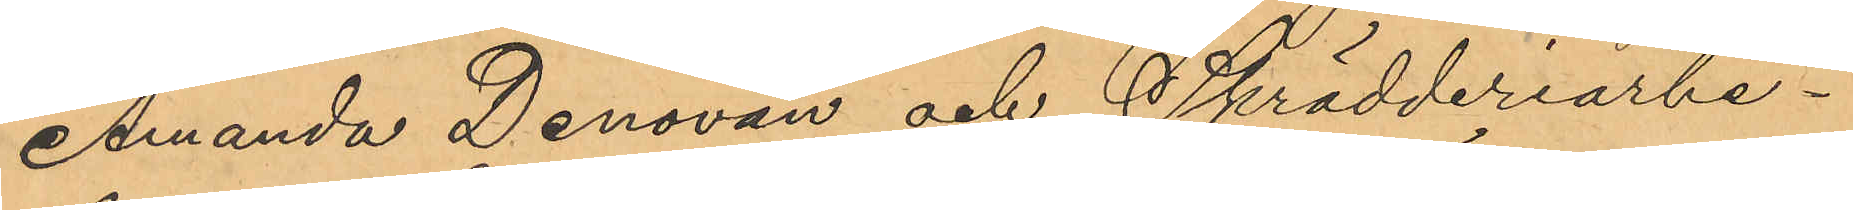Amanda Denovan och Skrädderiarbe¬
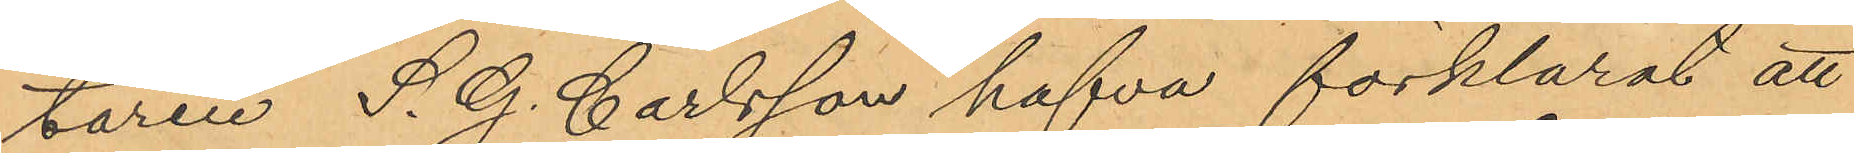taren S. G. Carlsson hafva förklarat att
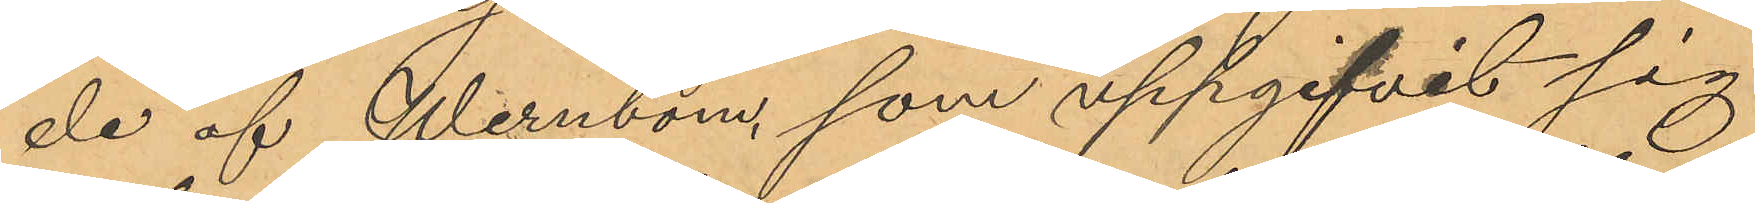de af Wernbom, som uppgifvit sig
